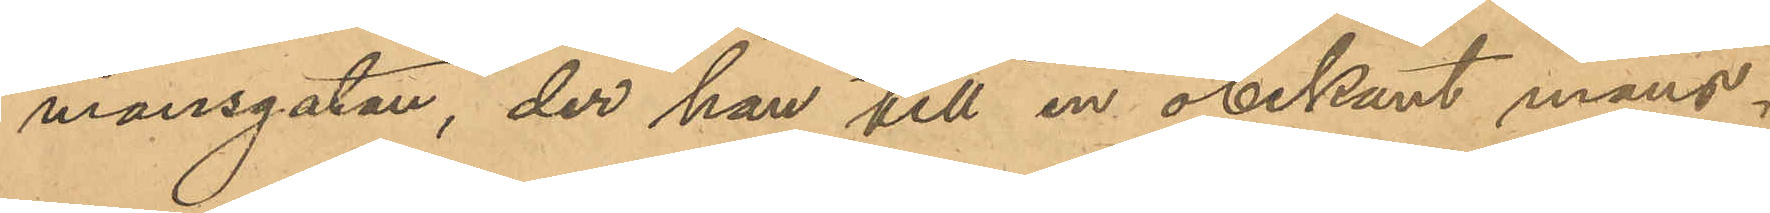mansgatan, der han till en obekant mans¬
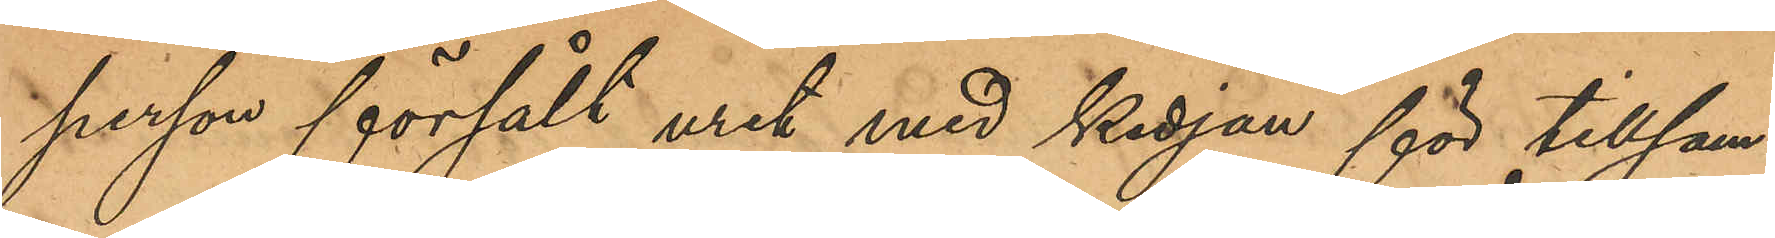person försålt uret med kedja för tillsam¬
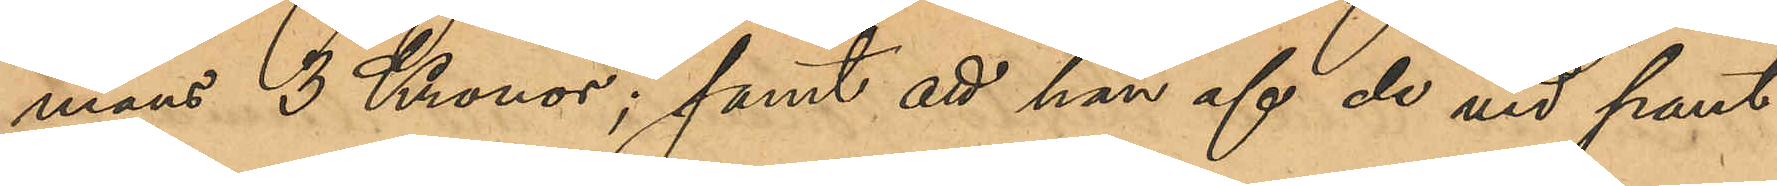mans 3 Kronor; samt att han af de vid pant¬
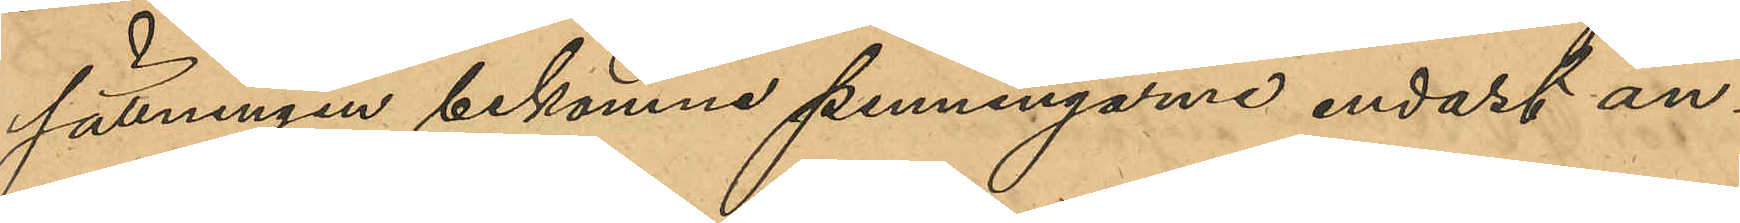sättningen bekomne penningarne endast an¬
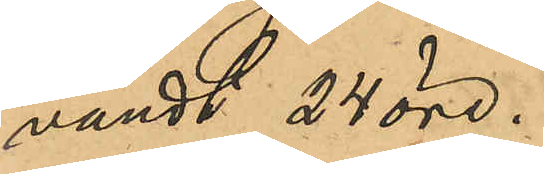vändt 24 öre.
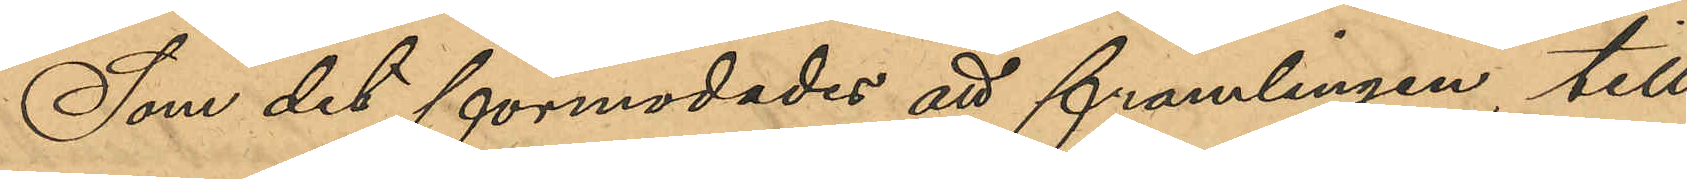Som det förmodades att främlingen, till
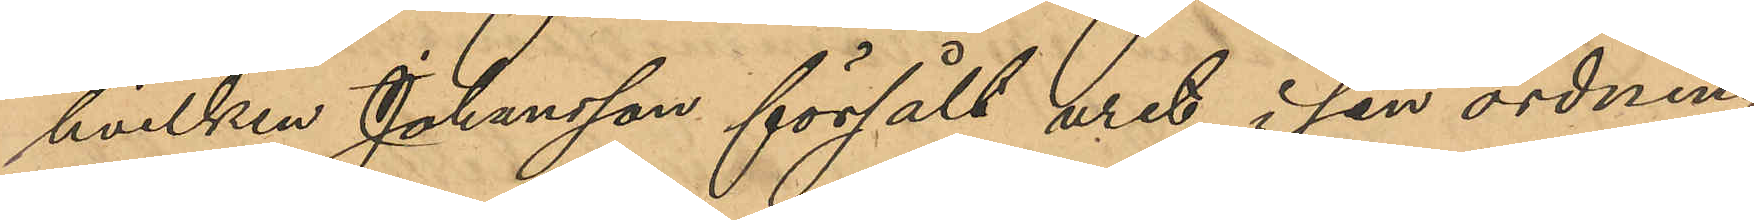hvilken Johansson försålt uret, i sin ordning
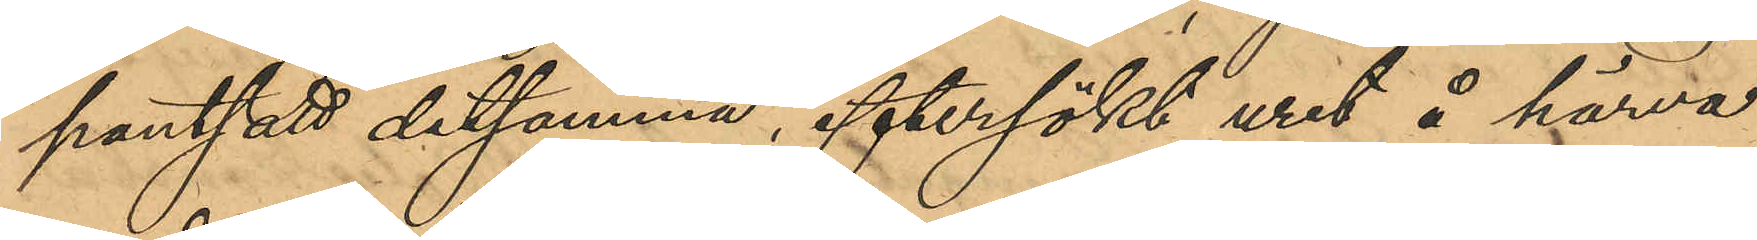pantsatt detsamma, eftersökt uret å härva¬
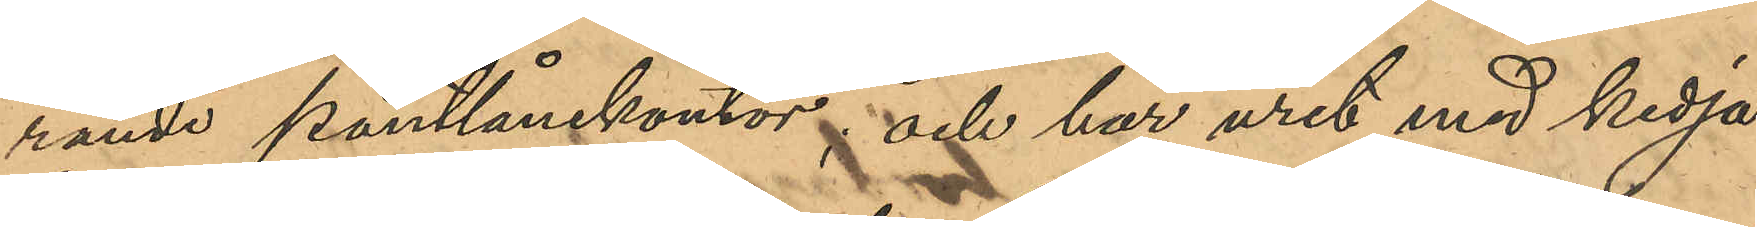rande pantlånekontor, och har uret med kedja
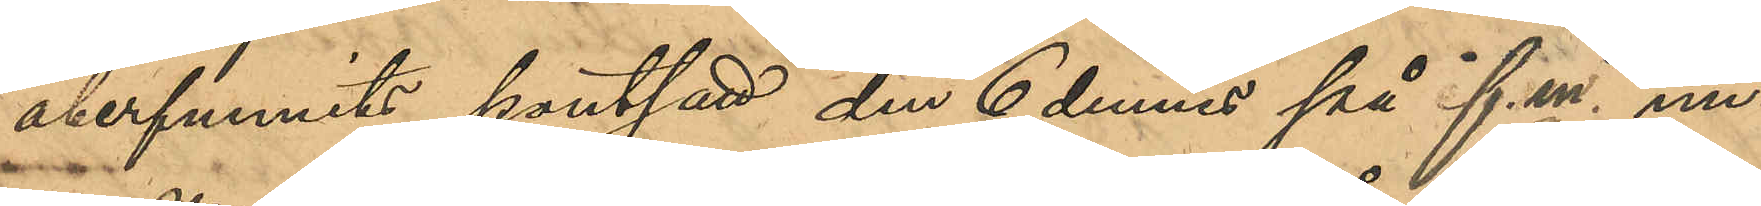återfunnits pantsatt den 6 dennes på f. m. un¬
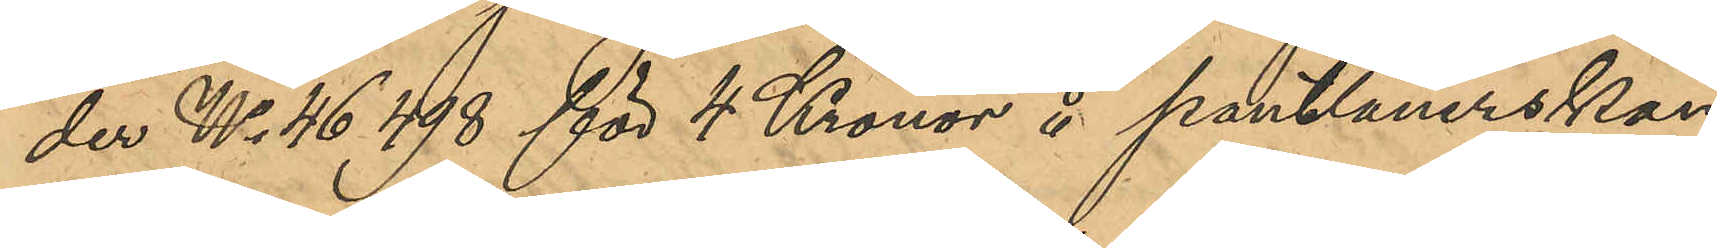der No 46,498 för 4 Kronor å pantlånerskan
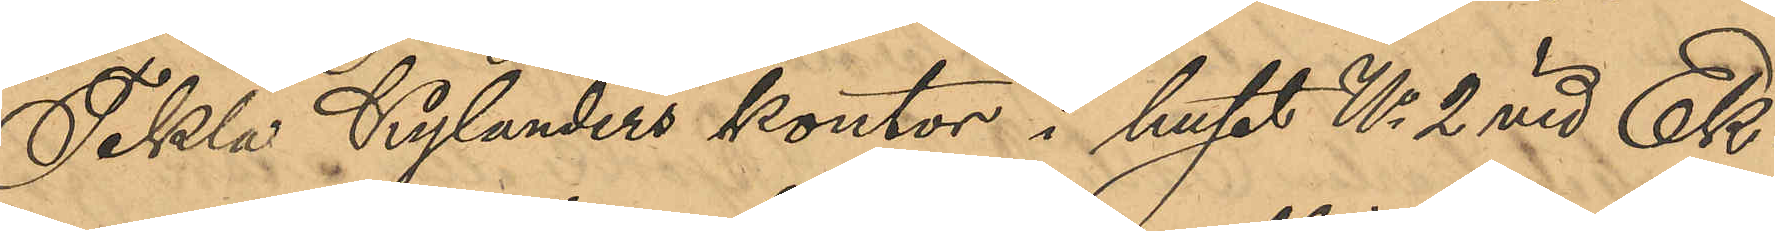Tekla Kylanders kontor i huset No 2 vid Ek¬
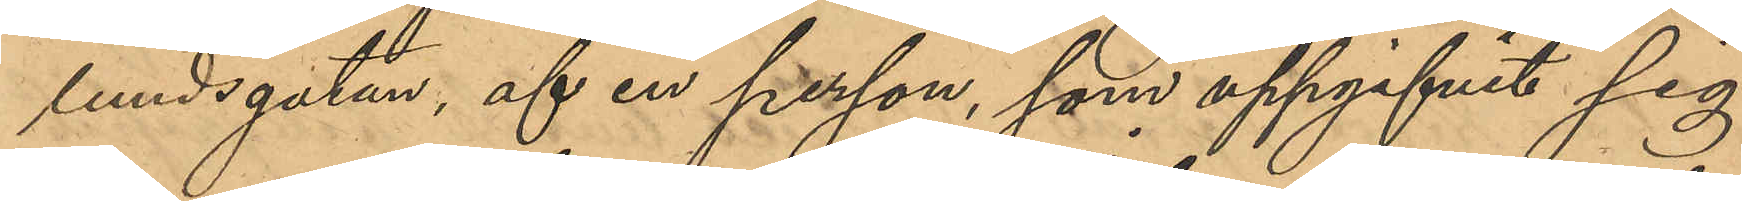lundsgatan, af en person, som uppgifvit sig
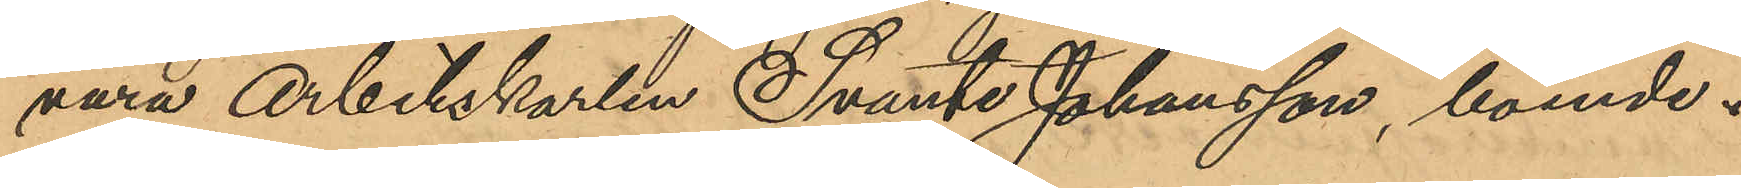vara Arbetskarlen Svante Johansson, boende i
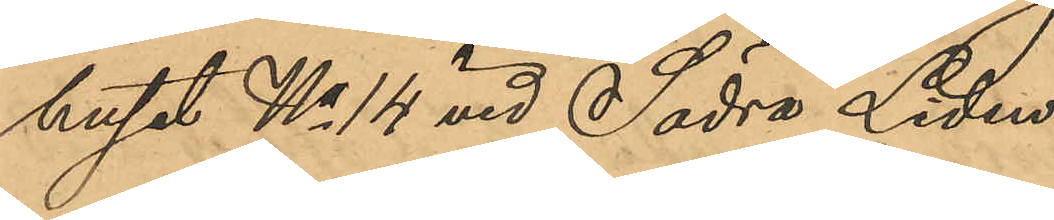huset No 14 vid Södra Liden.
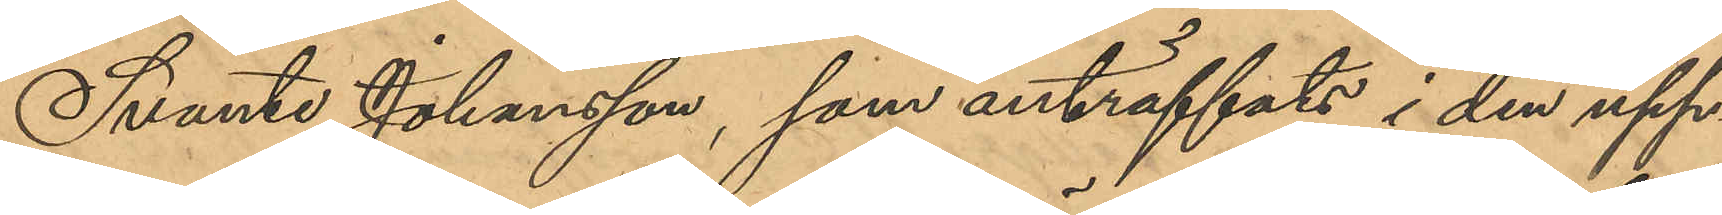Svante Johansson, som anträffats i den upp¬
